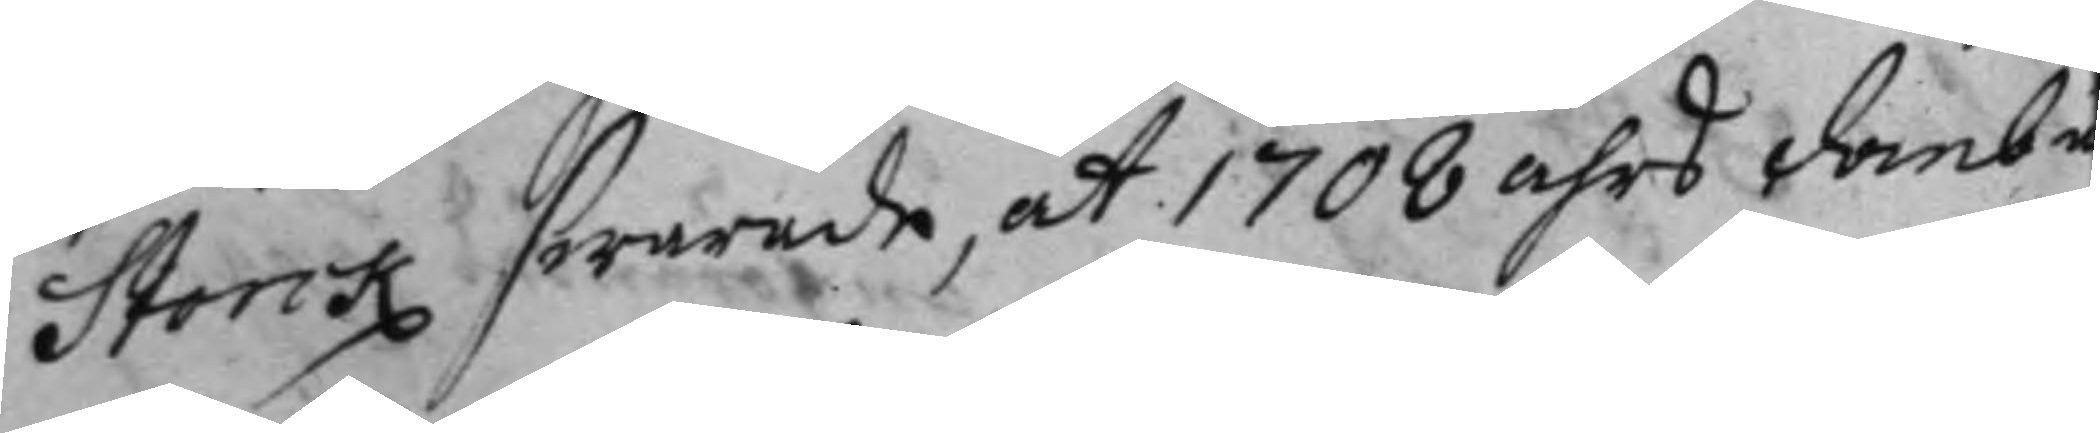Storck swarade, att 1708 åhrs domb
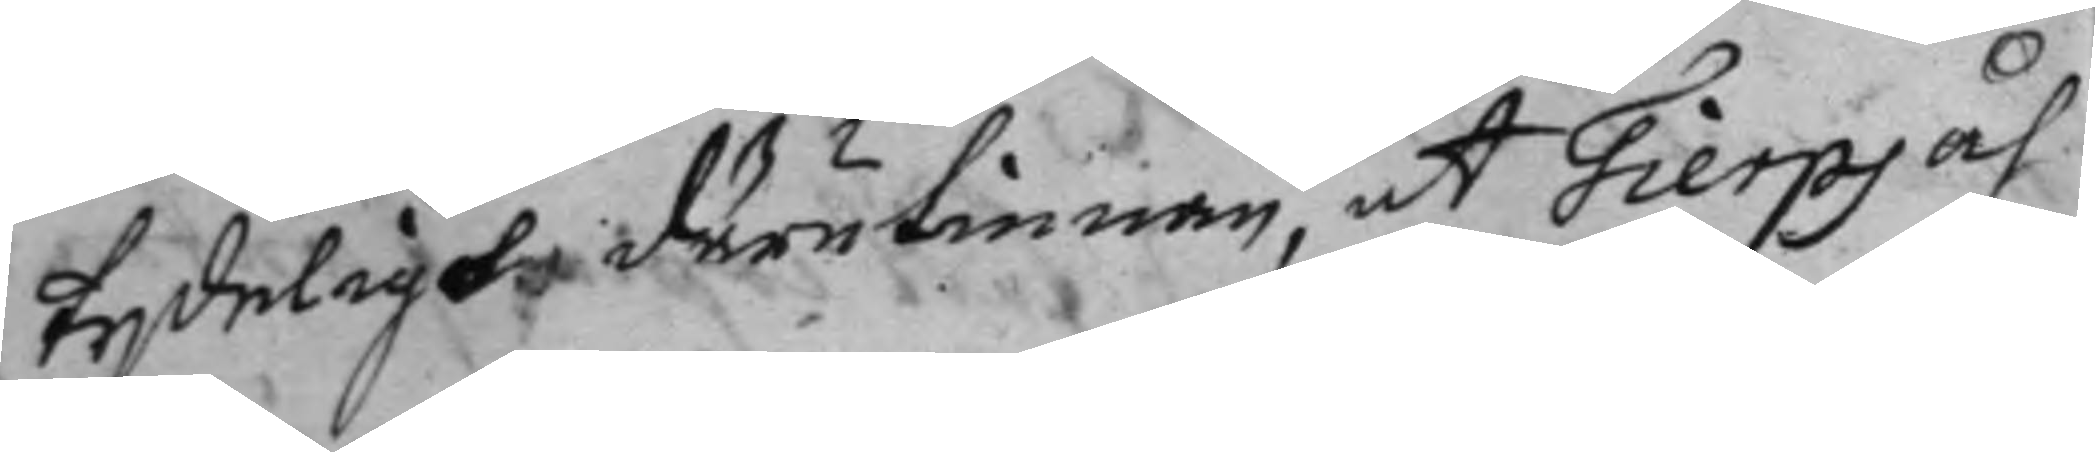tydeligt därutinnan, at Tierps åh
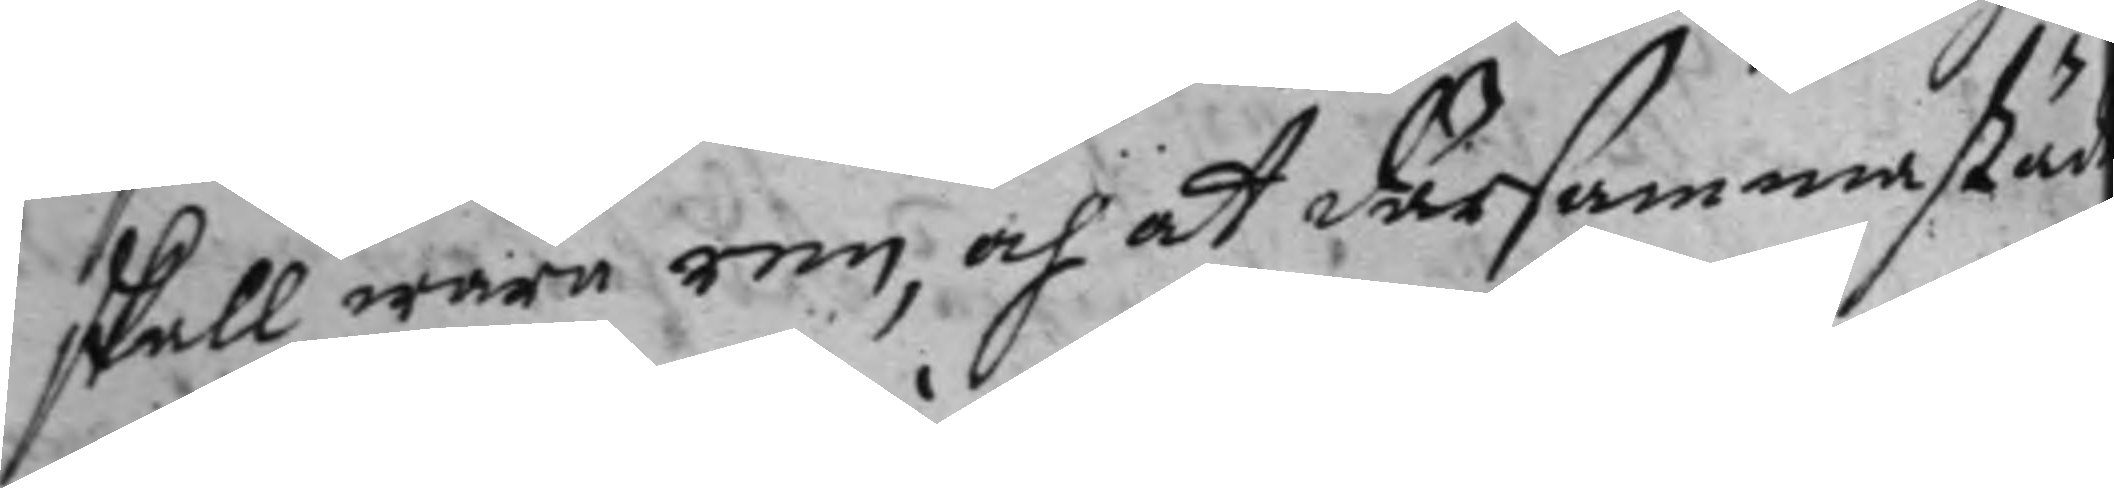skall ware ren, och at därsammastäd
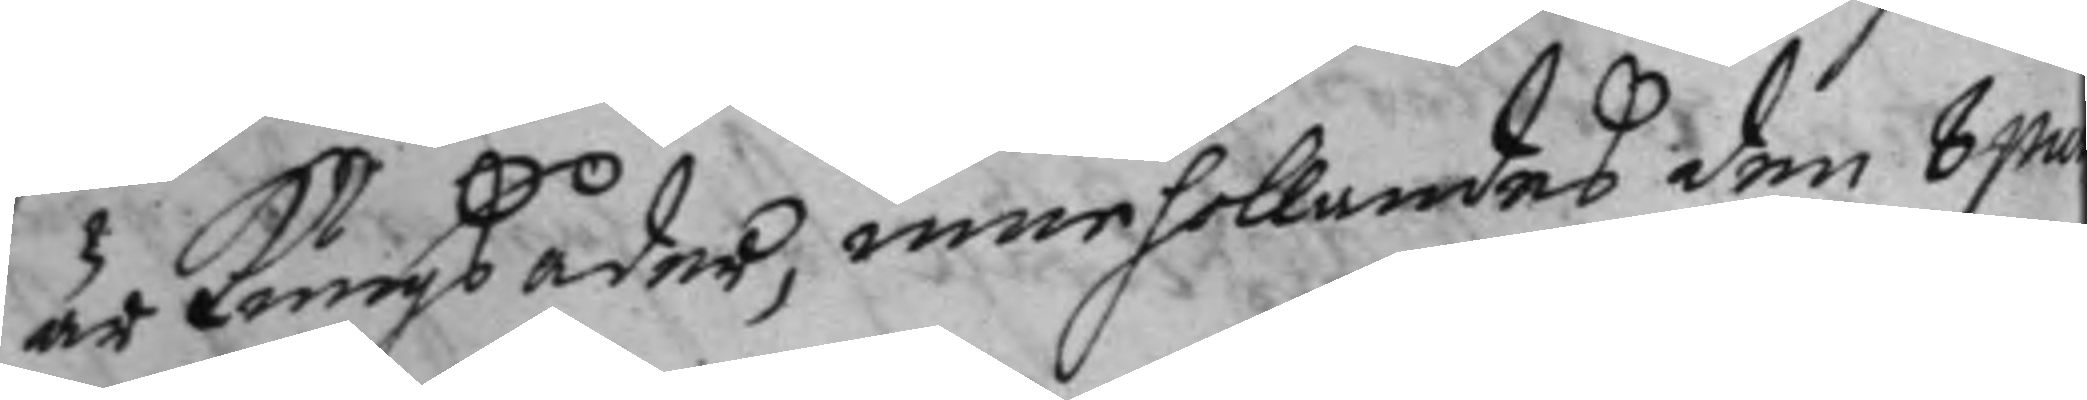är Kungsåder, innehollandes den 8 pa
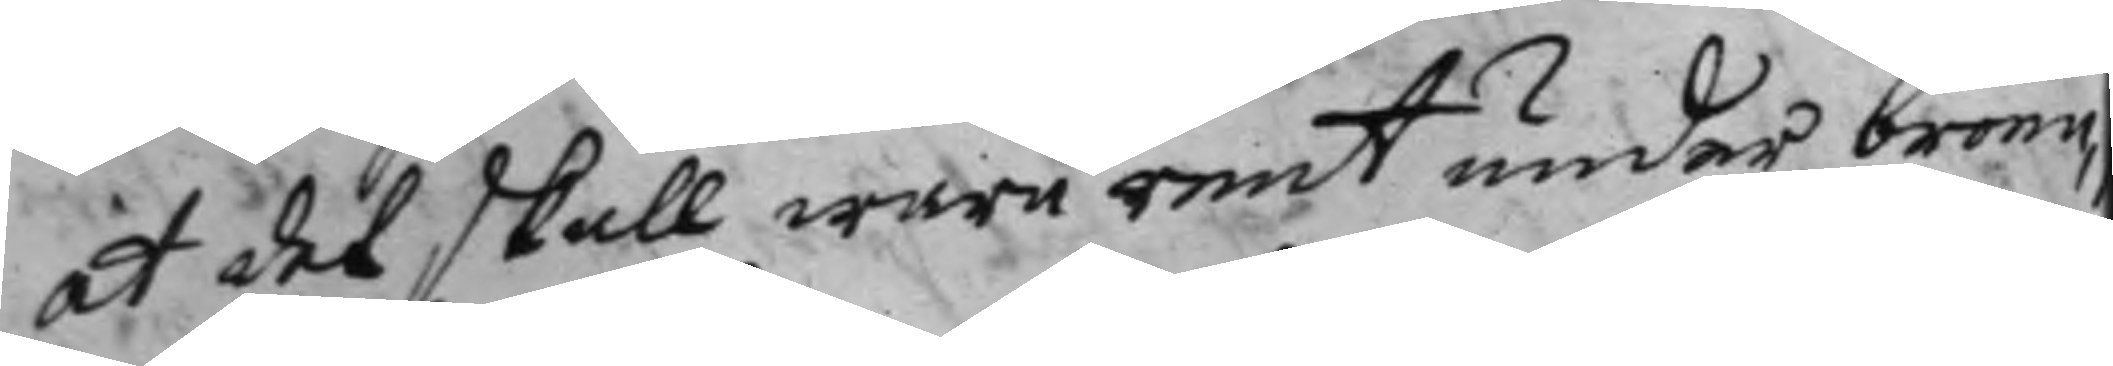at det skall ware rent under broen,
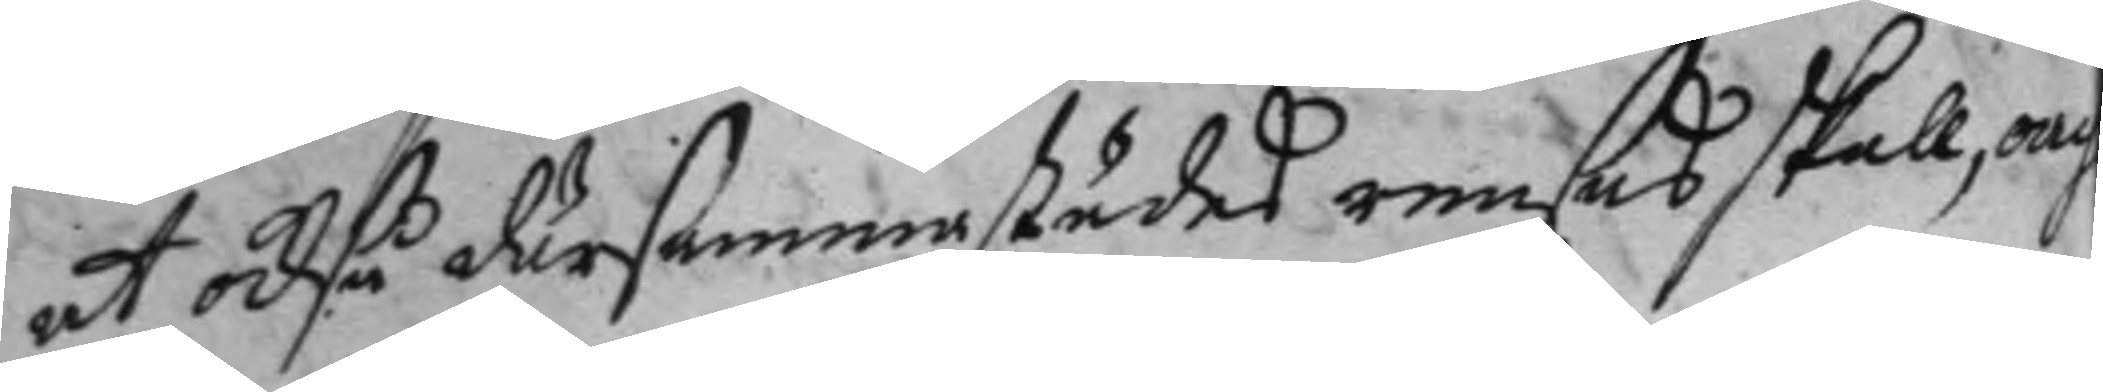at också därsammastädes rensas skall och
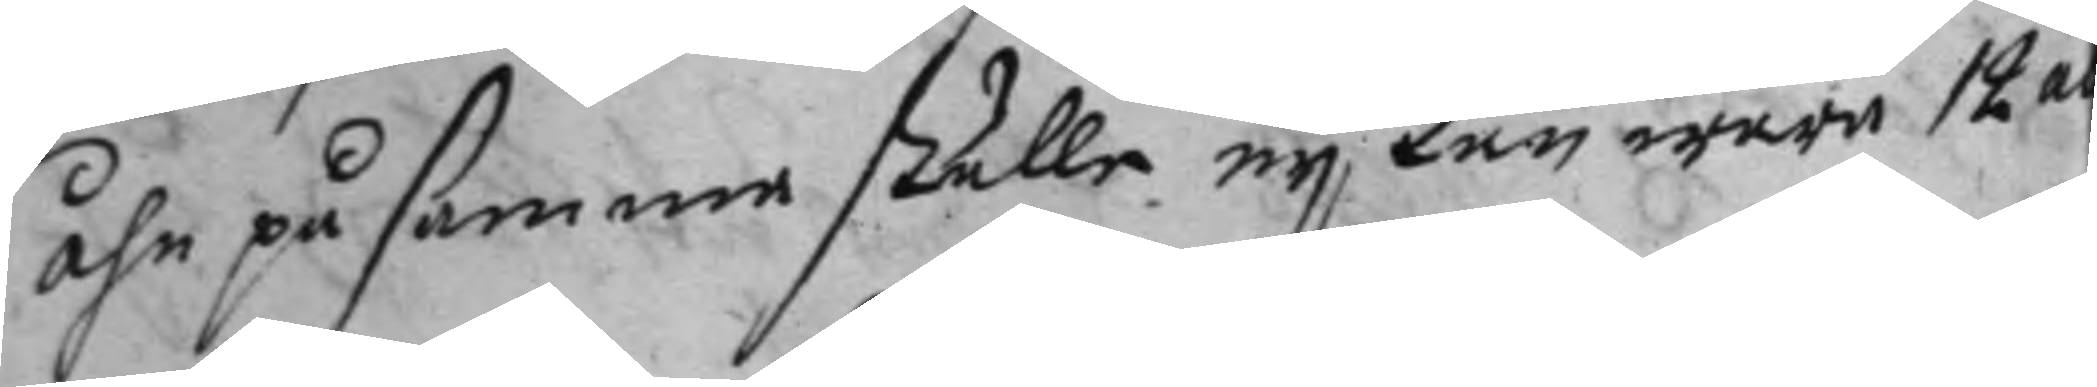åhn på samma ställe ej kan ware 12 al
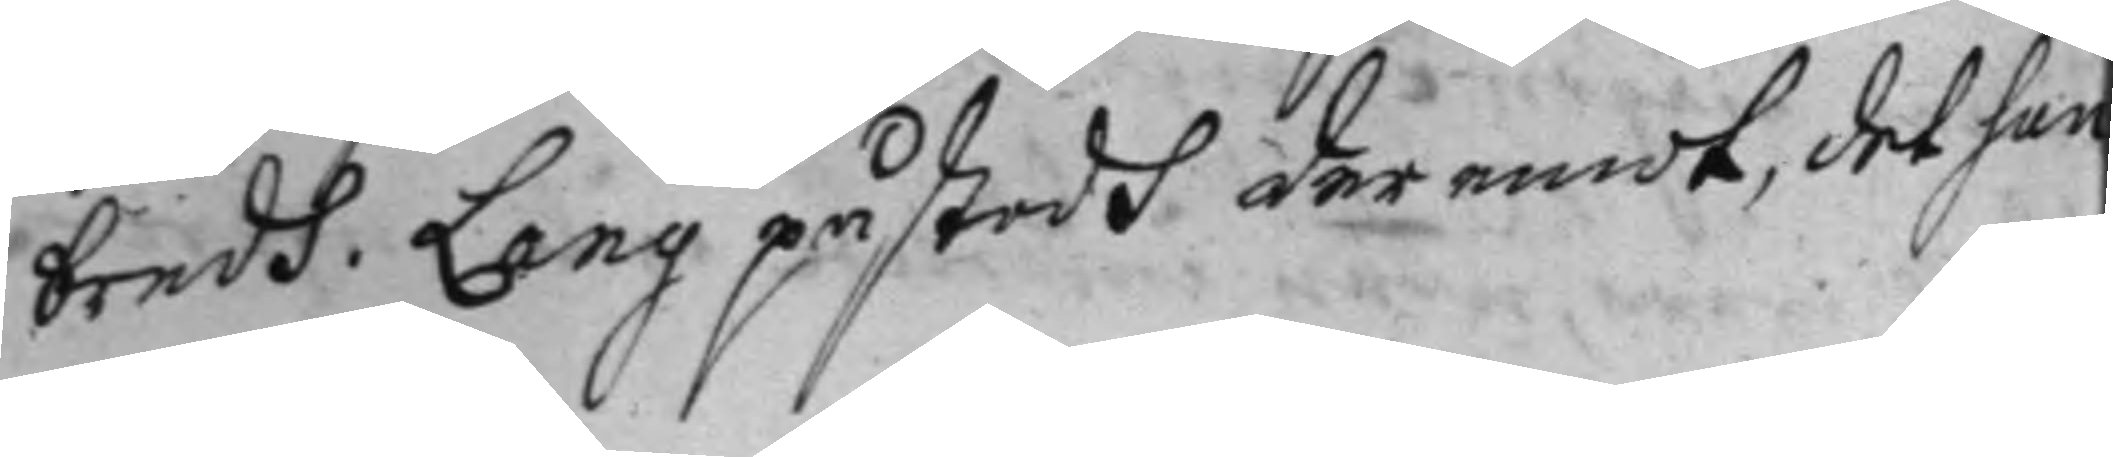bredh. Lang påstodh deremot, det han
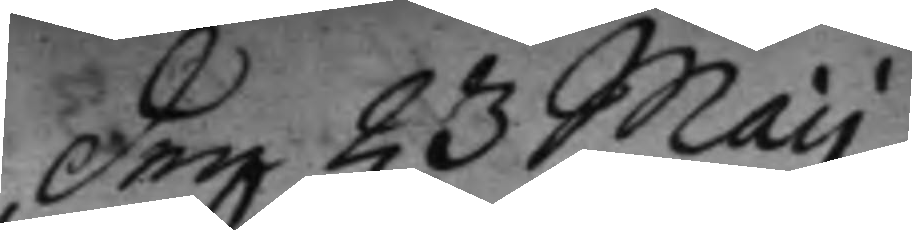den 23 Maij
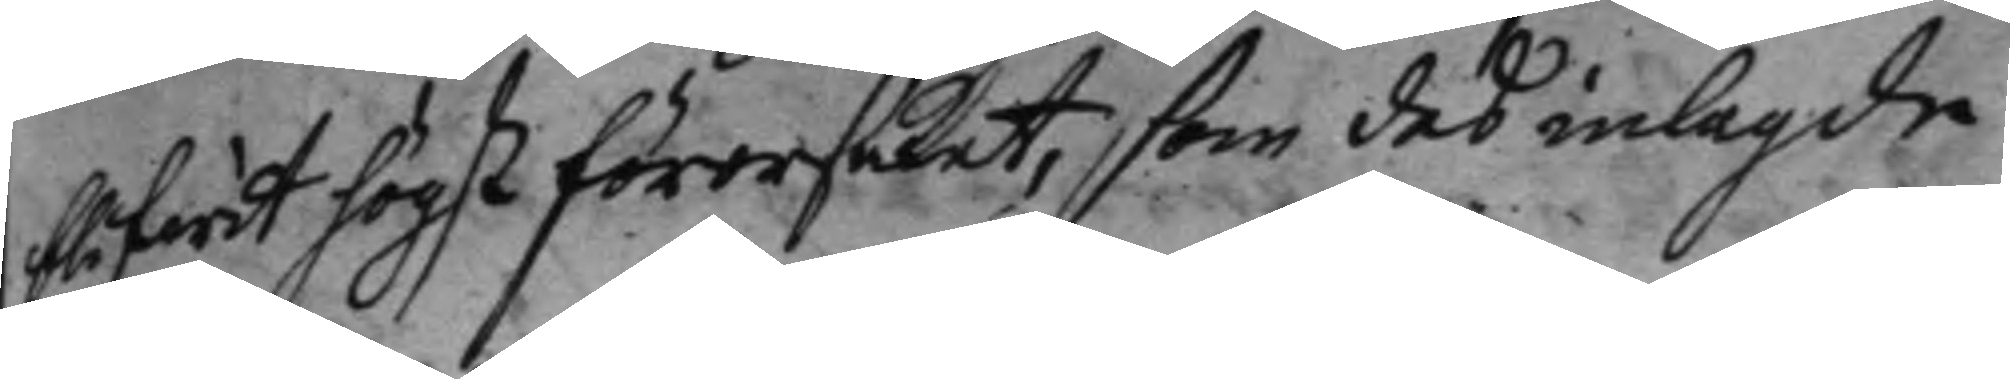blifwit högst förorsaket, som des inlagde
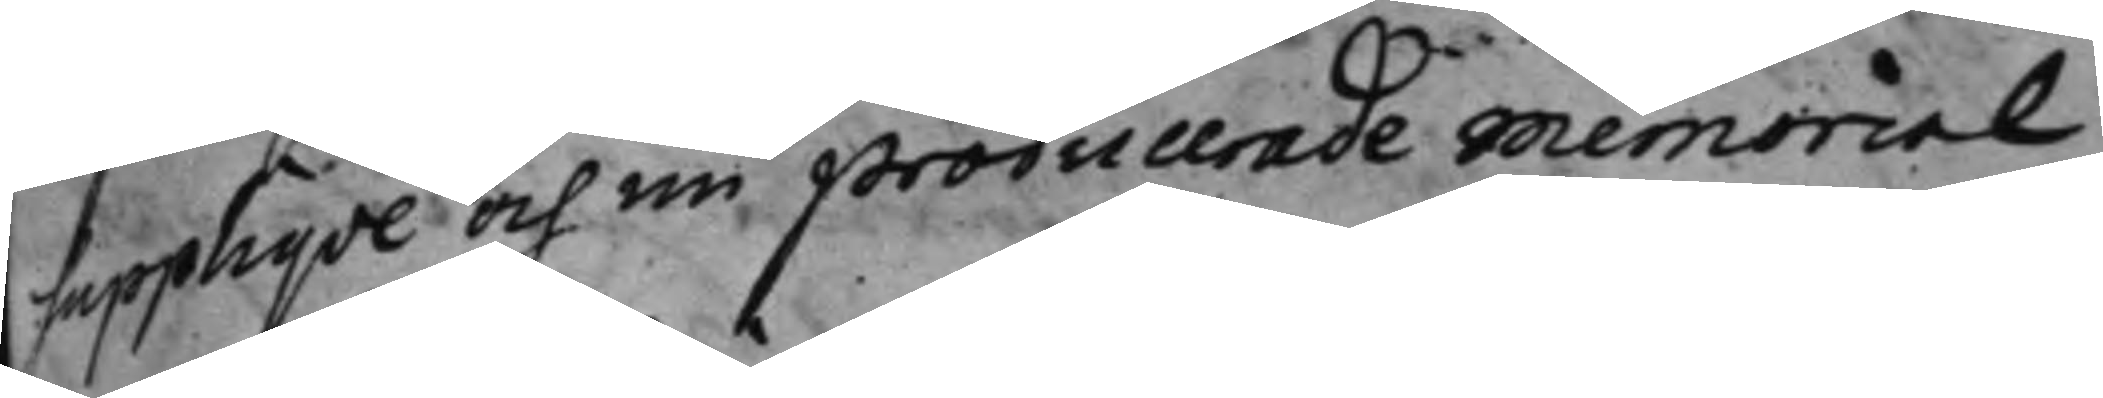supplique och nu producerade memorial
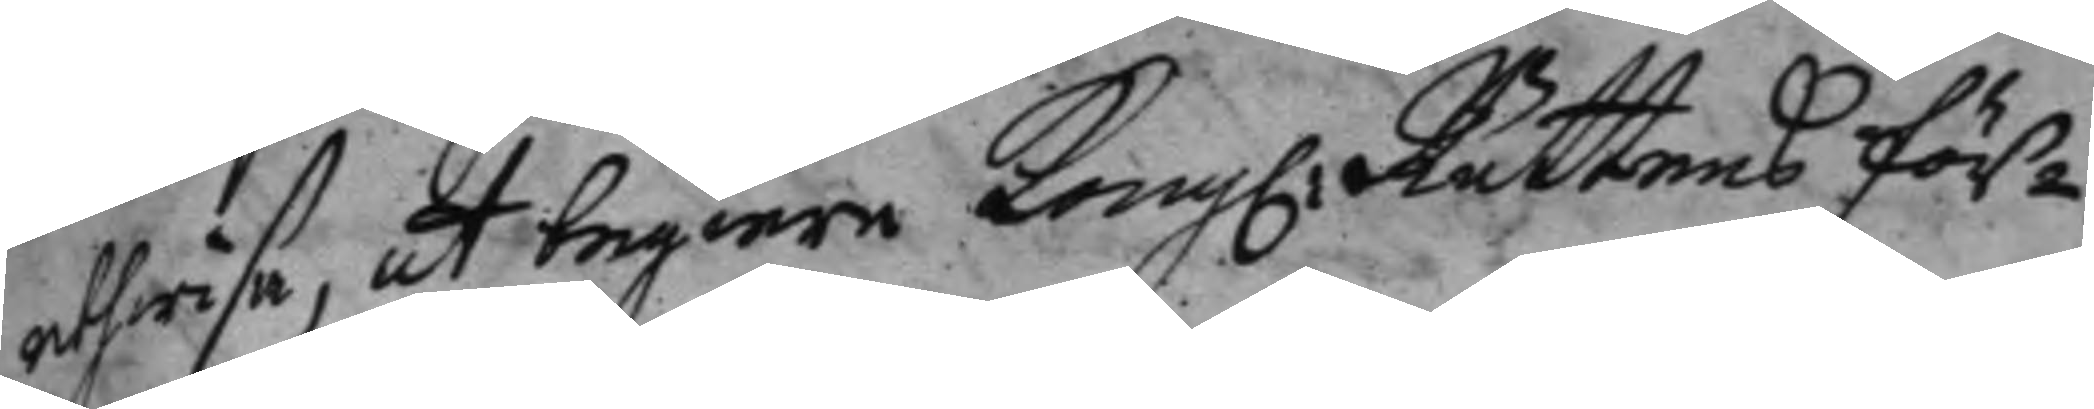uthwisa, att begiere Kong: Rättens för¬
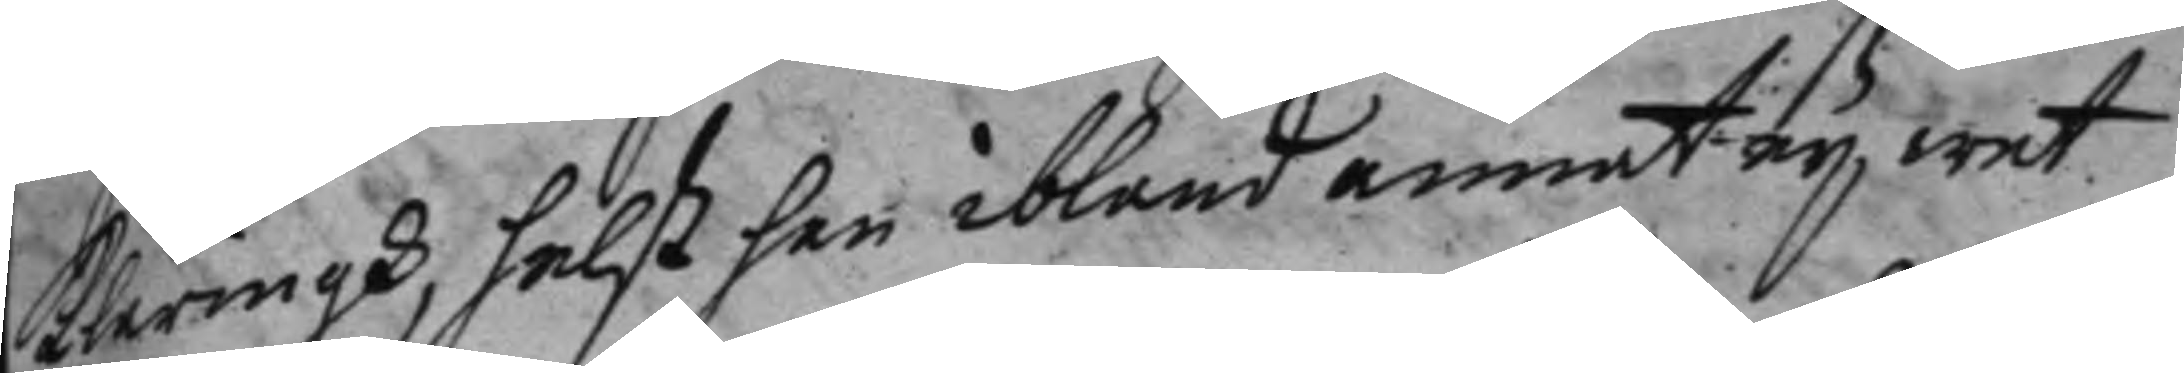klaringh, helst han ibland annat ej wet
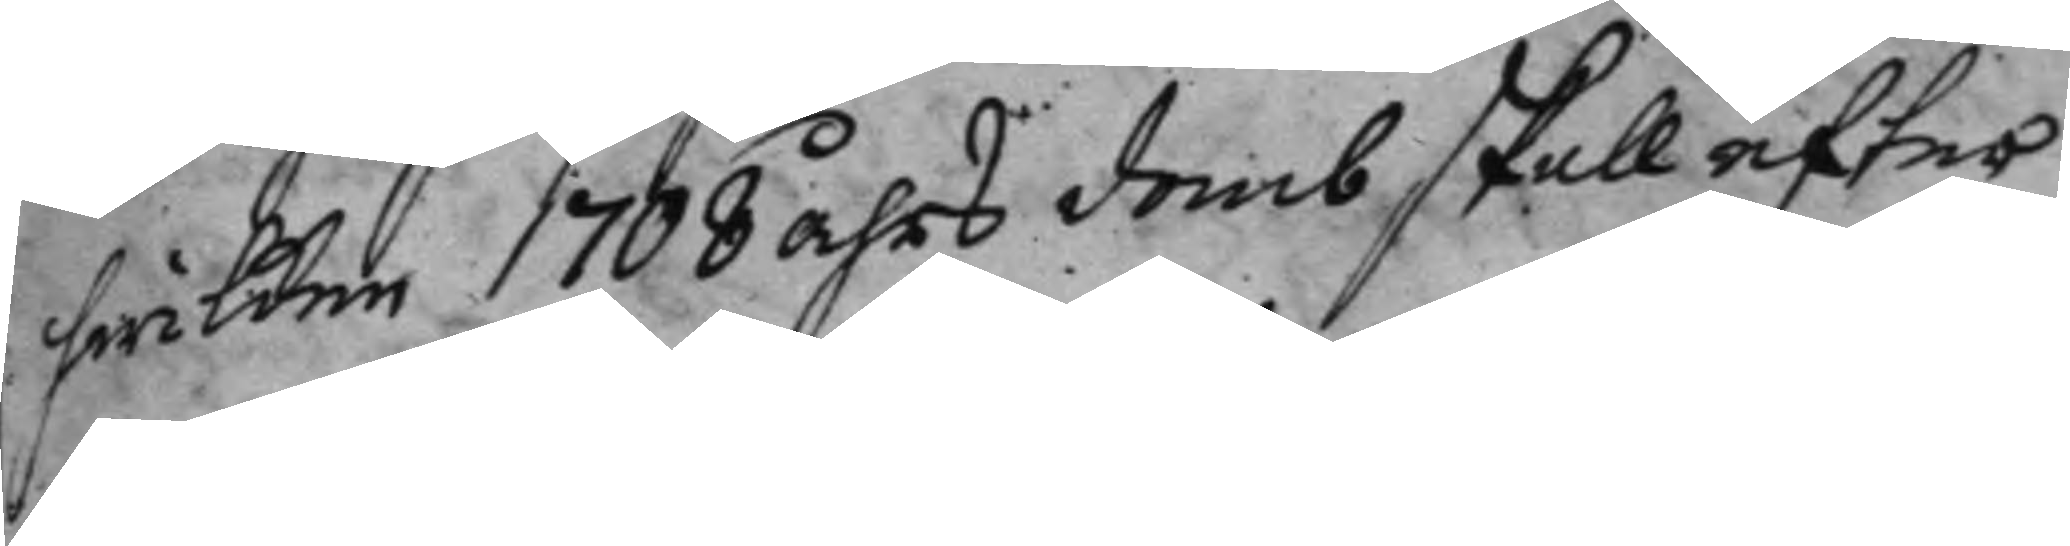hwilken 1708 åhrs domb skall efter
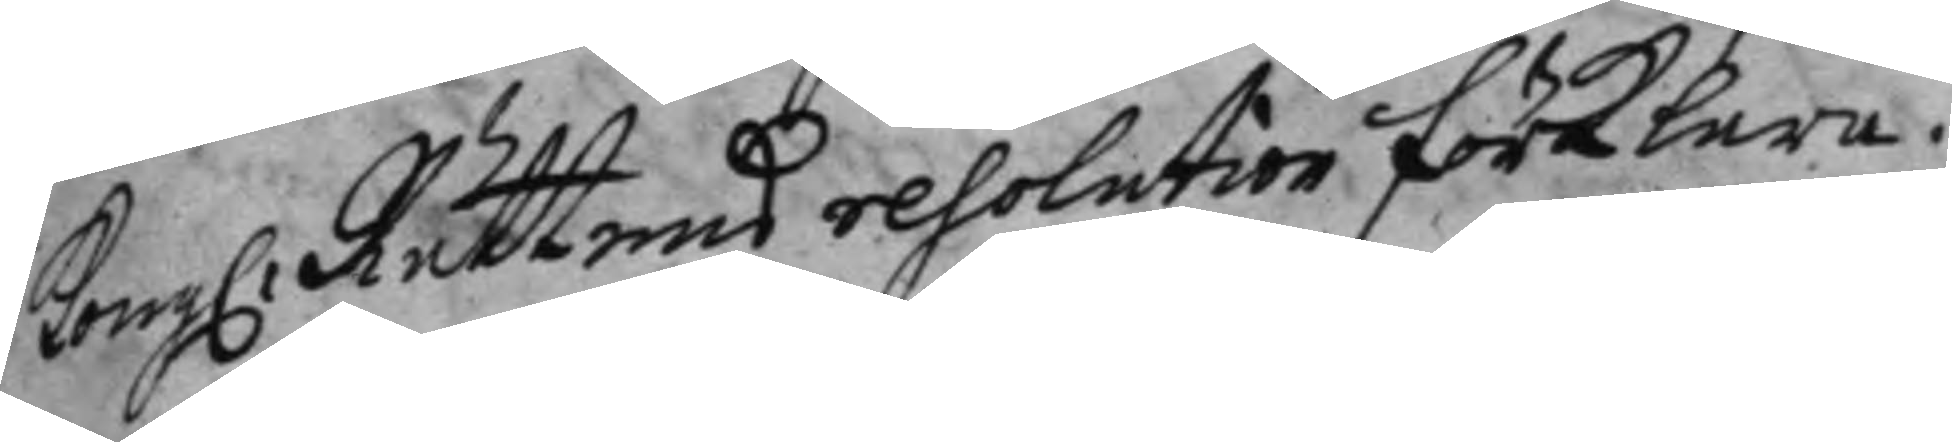Kong: Rättens resolution förklara.
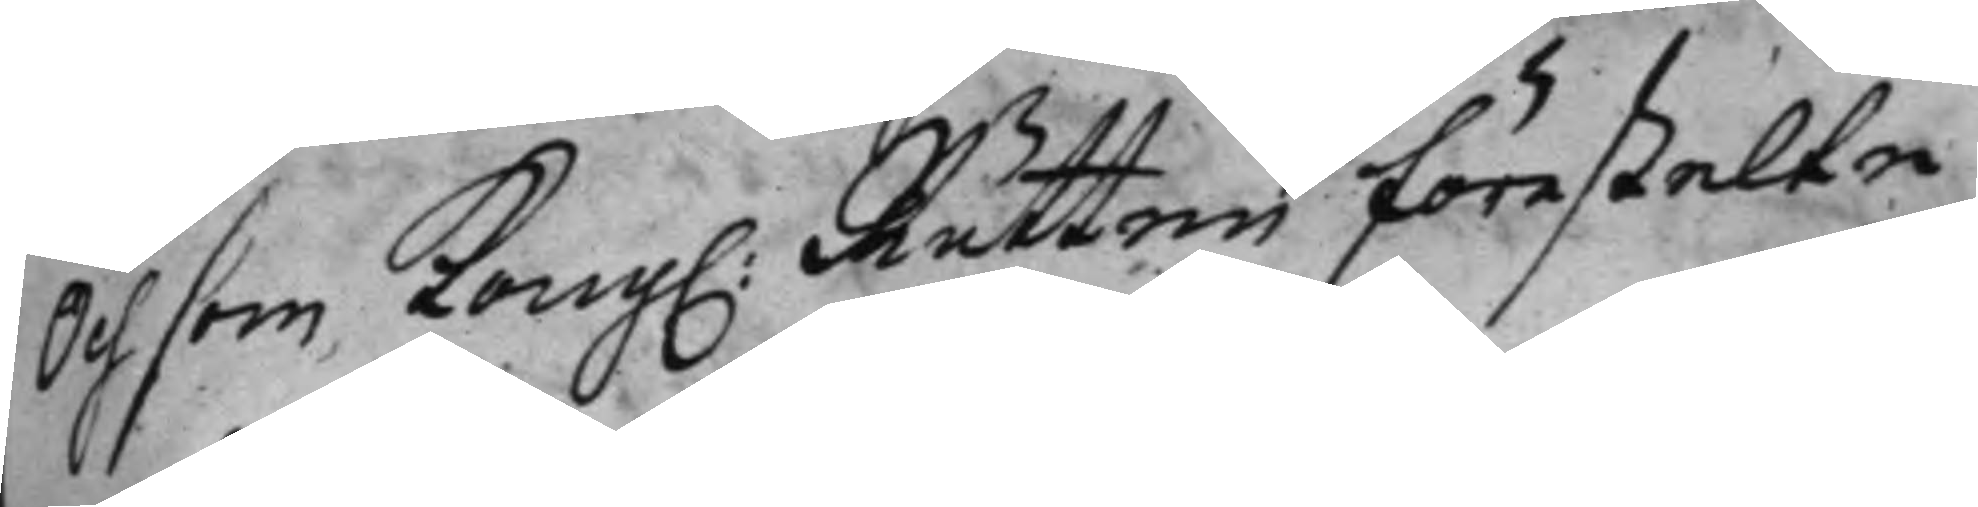Och som Kong: Rätten förestelte
